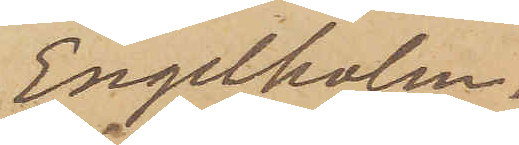Engelholm.
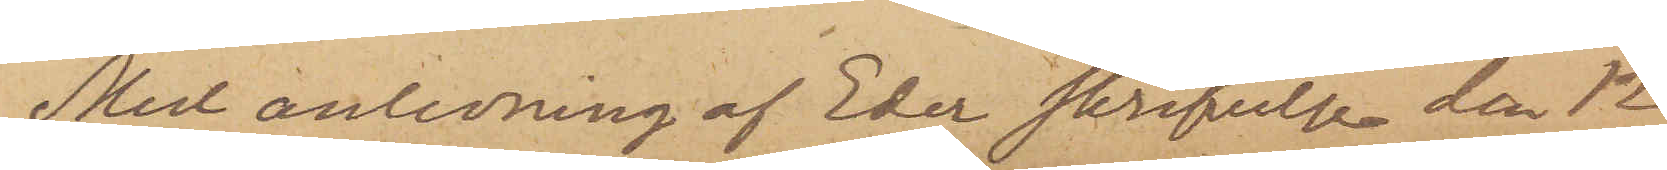Med anledning af Eder skrifvelse den 12
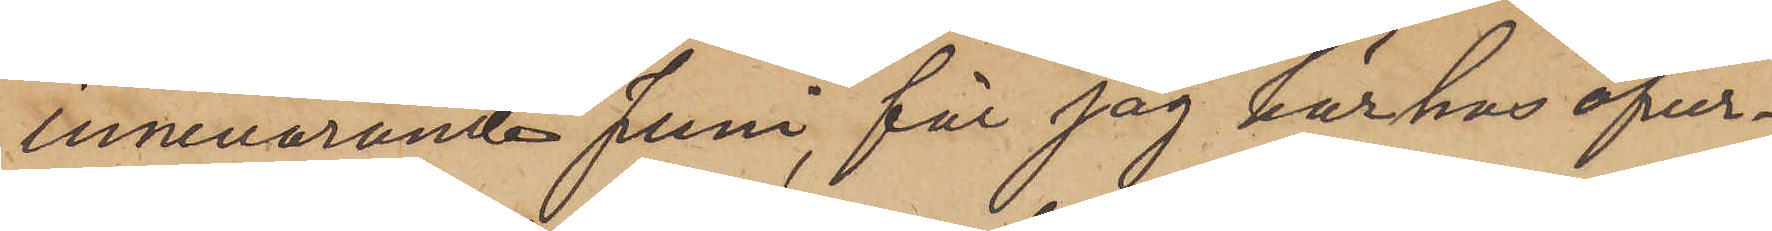innevarande Juni, får jag härhos öfver¬
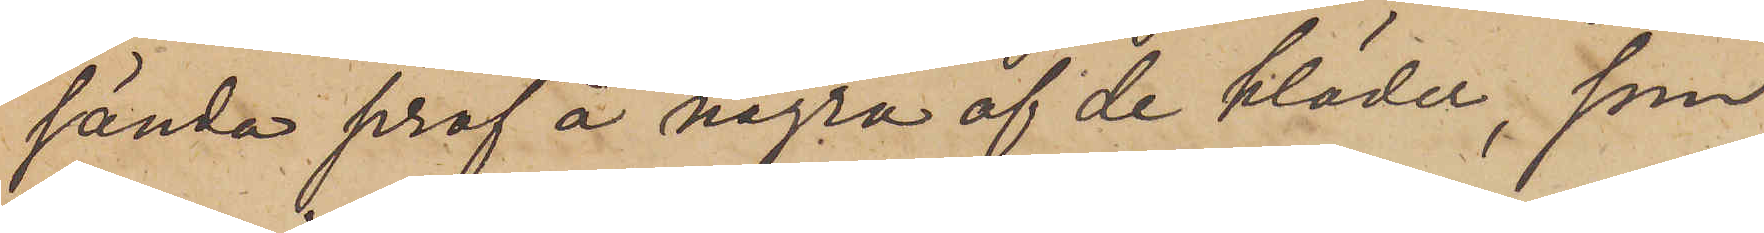sända prof å några af de kläder, som
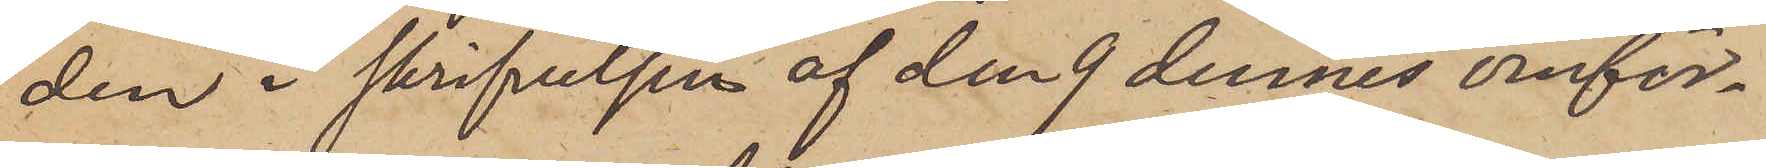den i skrifvelsen af den 9 dennes omför¬
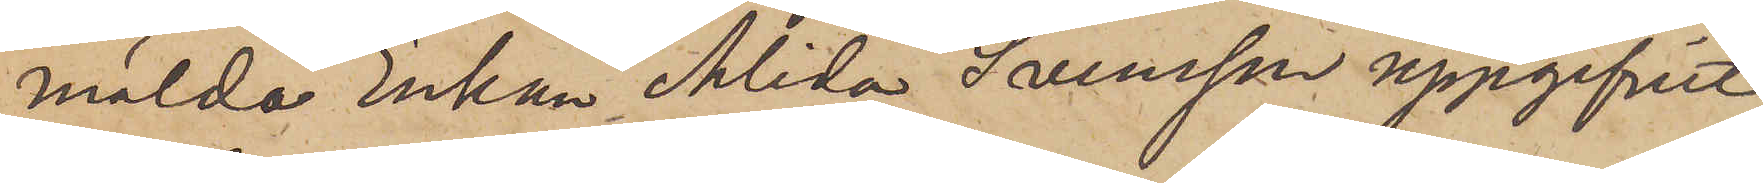mälda Enkan Alida Svensson uppgifvit
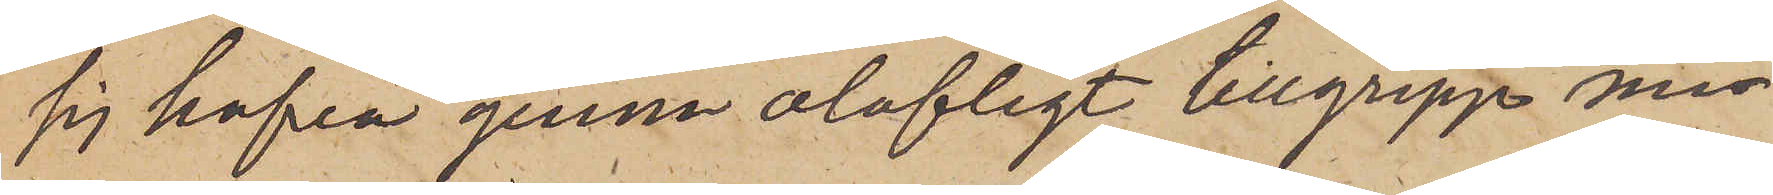sig hafva genom olofligt tillgrepp mi¬
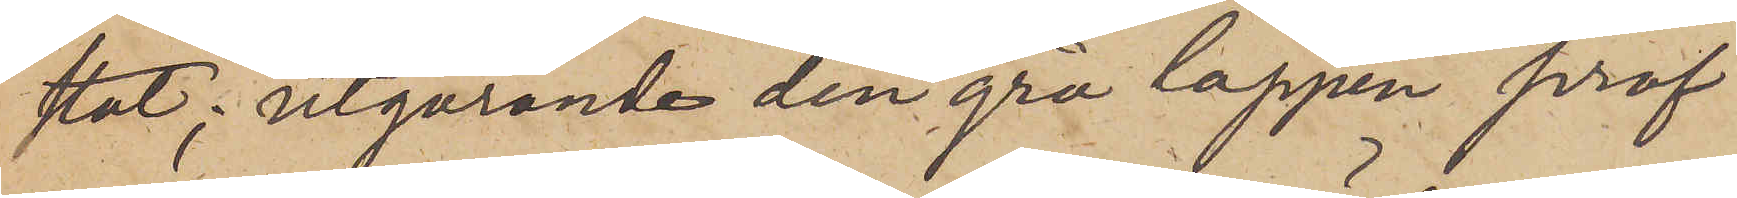stat; utgörande den grå lappen prof
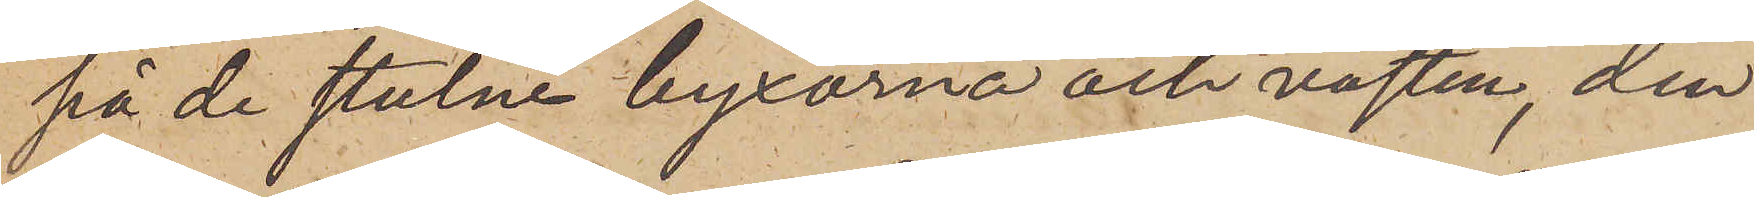på de stulne byxorna och västen, den
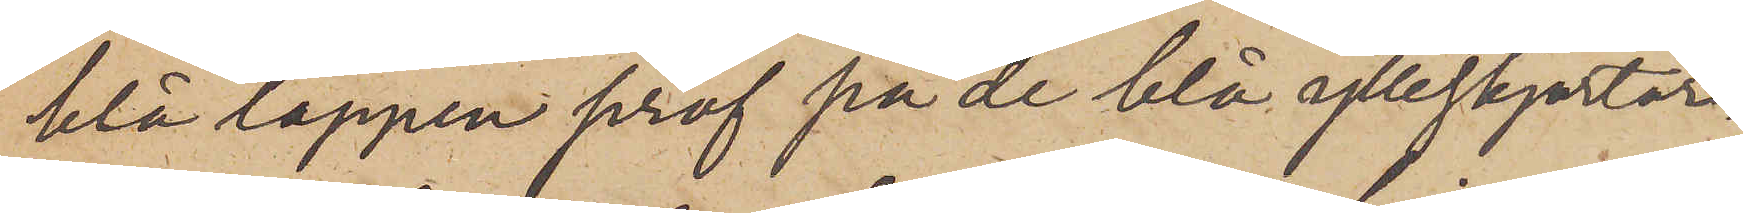blå lappen prof på de blå ylleskjortor¬
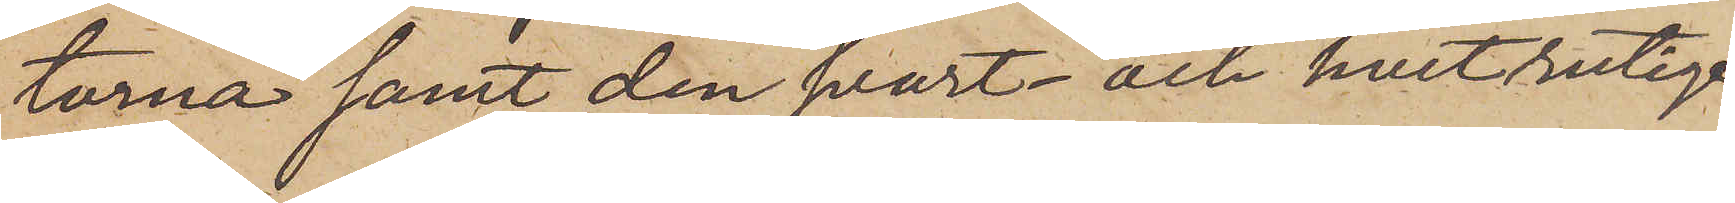torna samt den svart- och hvitrutige
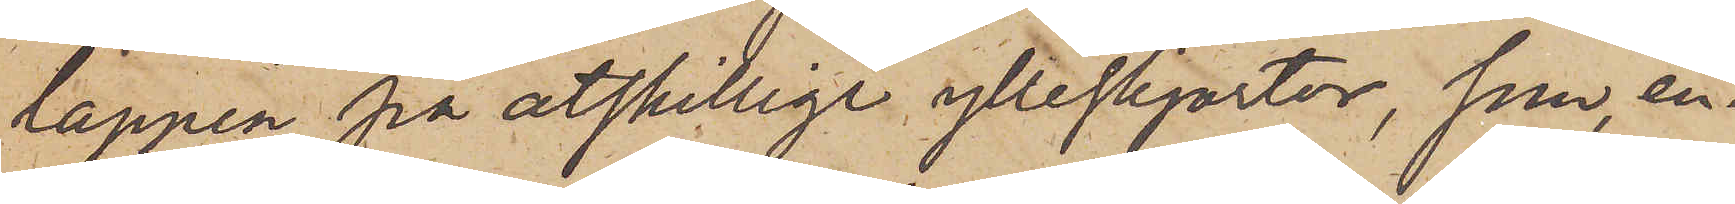lappen på åtskilliga ylleskjortor, som, en¬
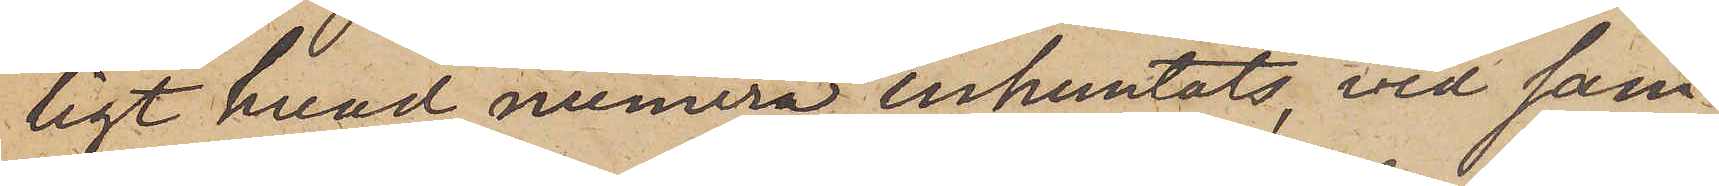ligt hvad numera inhemtats, vid sam¬
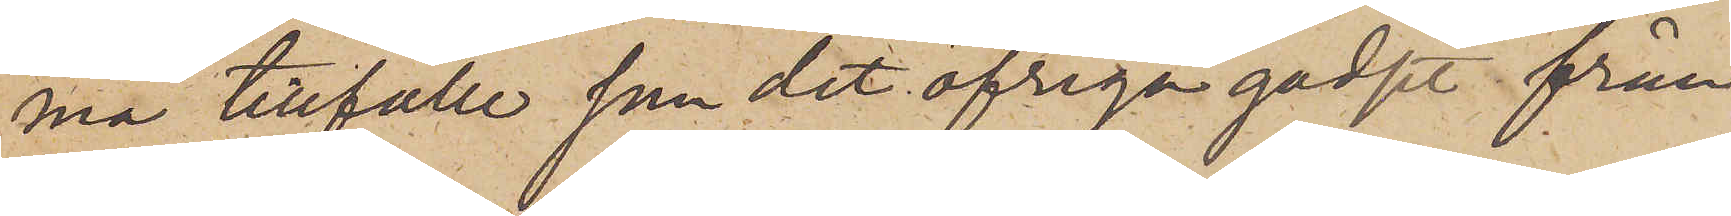ma tillfälle som det öfriga godset från
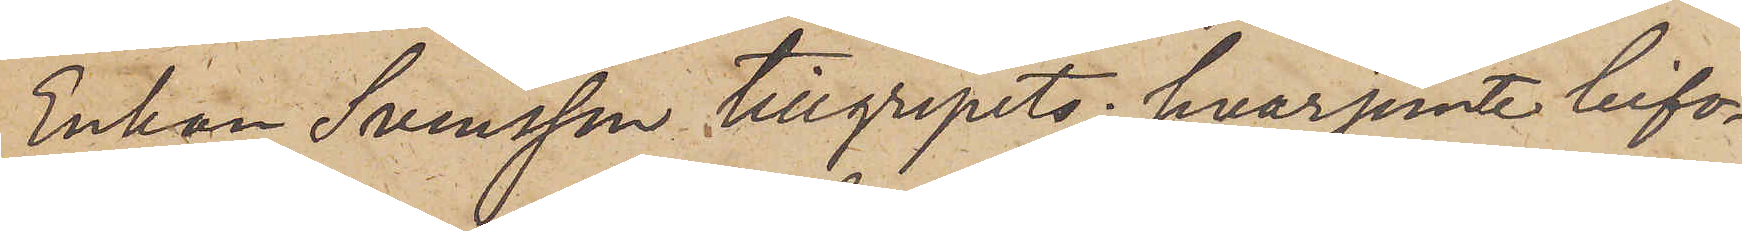Enkan Svensson tillgripits; hvarjemte bifo¬
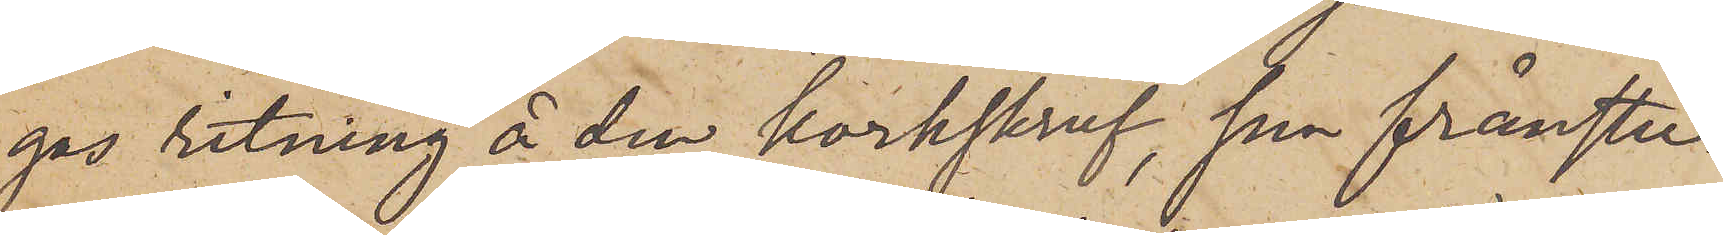gas ritning å den korkskruf, som frånstu¬
